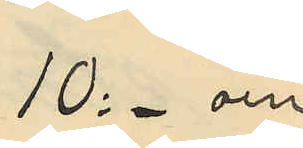10:- och
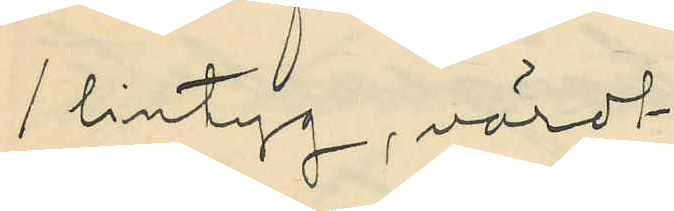1 lintyg, värdt
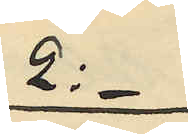2:-
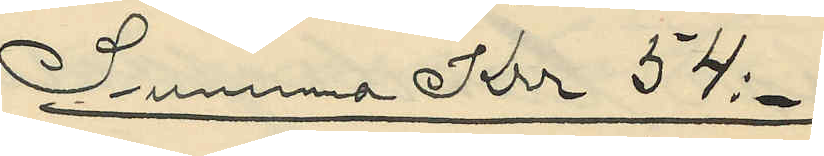Summna Krr 54:-
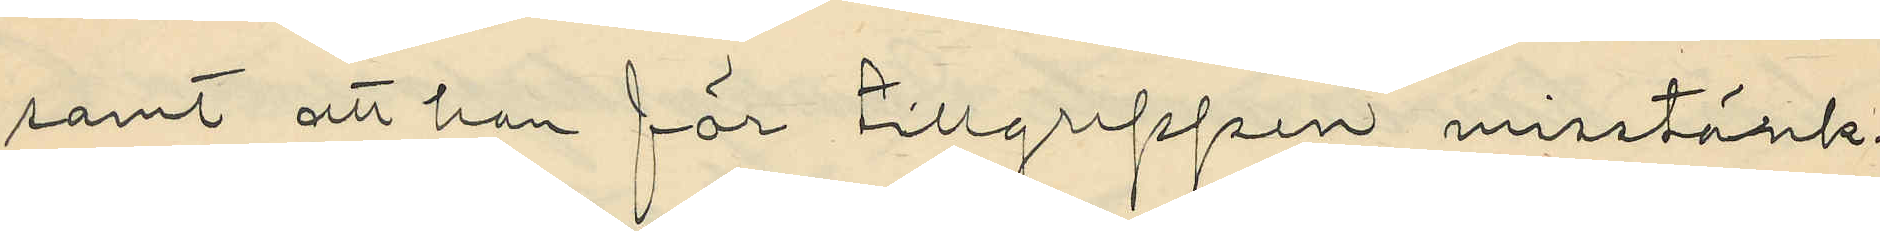samt att han för tillgreppen misstänk¬
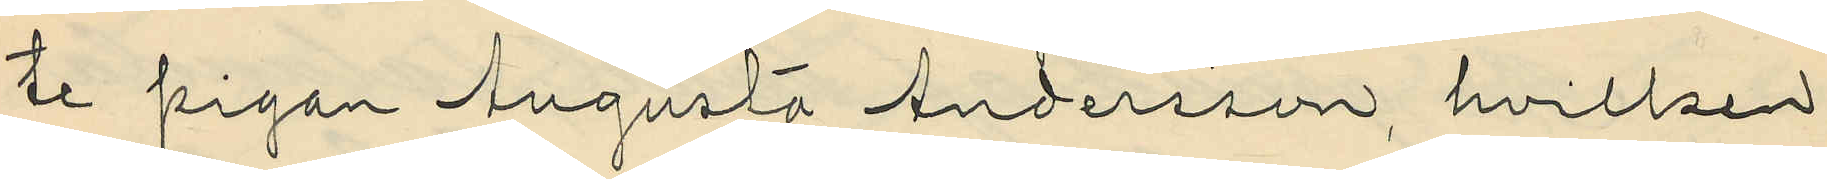te pigan Augusta Andersson, hvilken
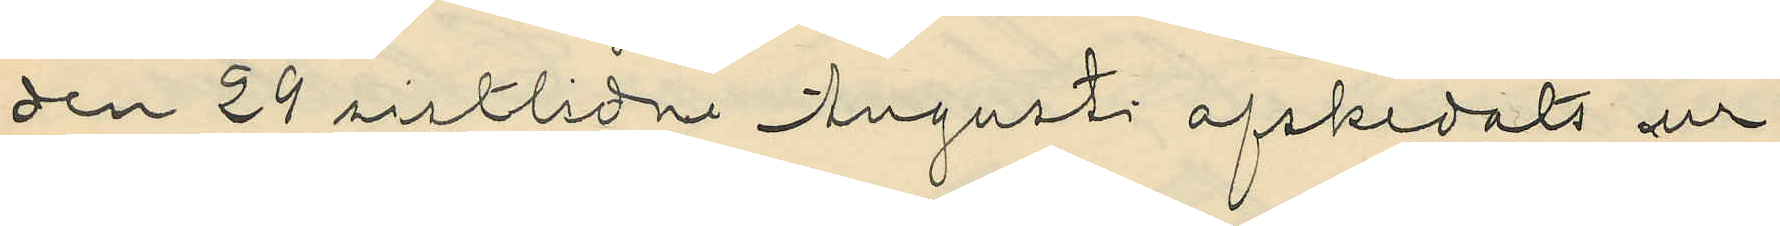den 29 sistlidne Augusti afskedats ur
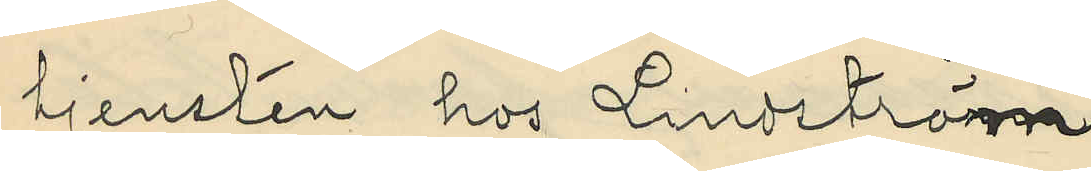tjensten hos Lindström.
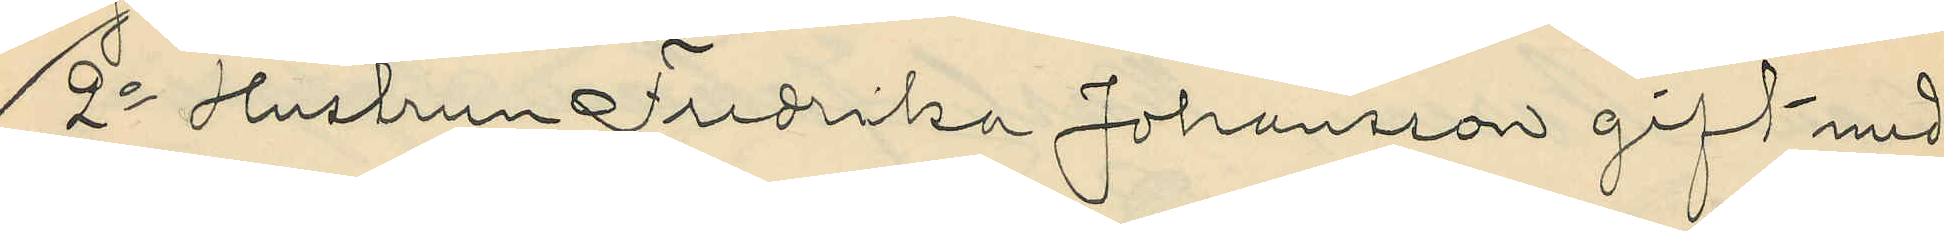2o Hustrun Fredrika Johansson gift med
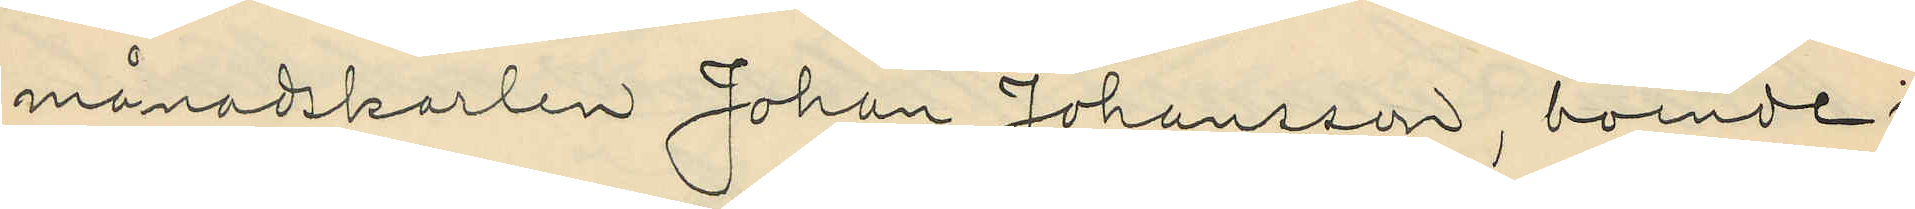månadskarlen Johan Johansson, boende i
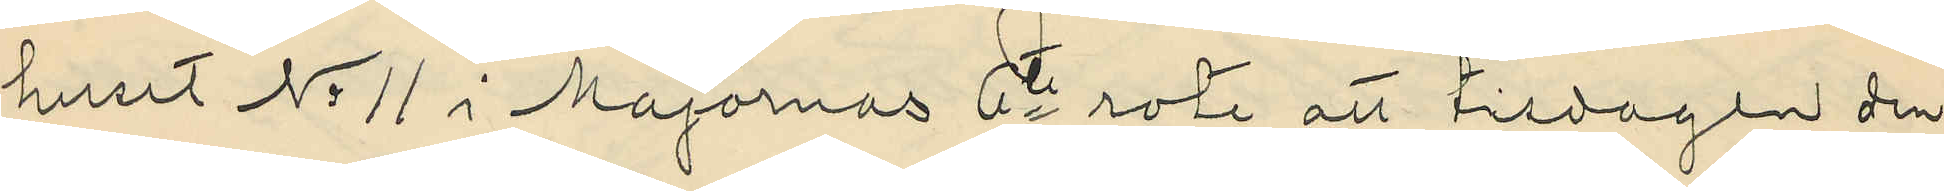huset No 11 i Majornas 6te rote att tisdagen den
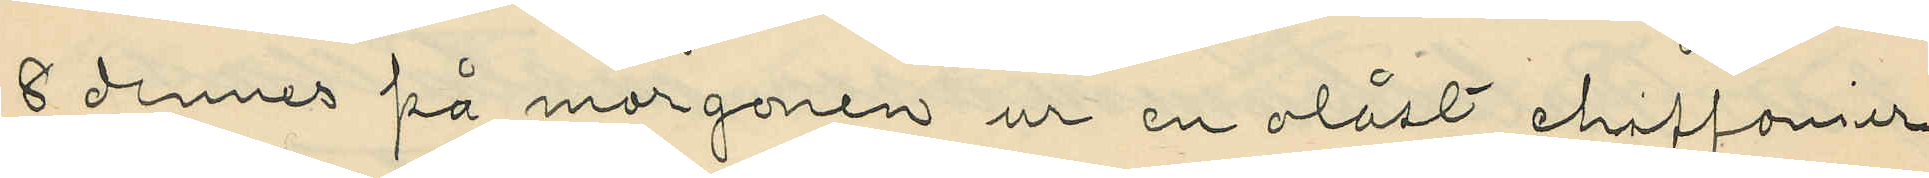8 dennes på morgonen ur en olåst chiffonier
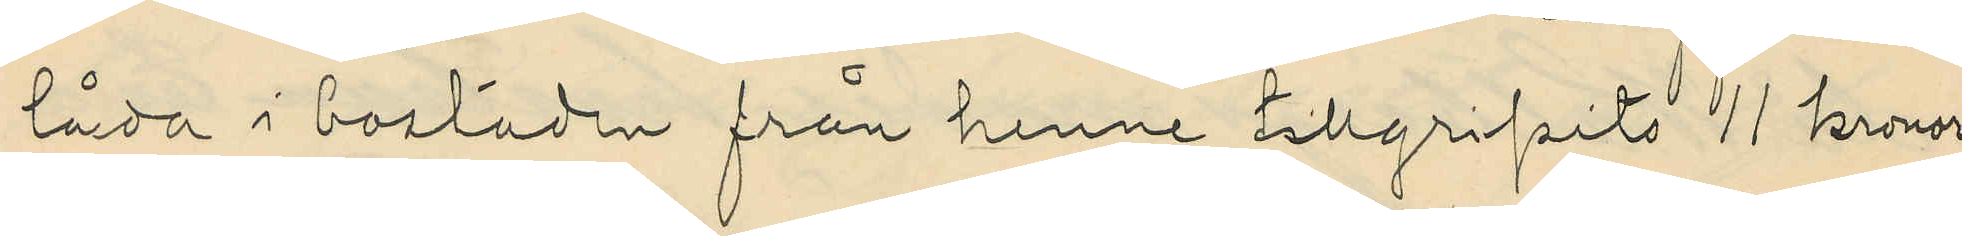låda i bostaden från henne tillgripits 11 kronor
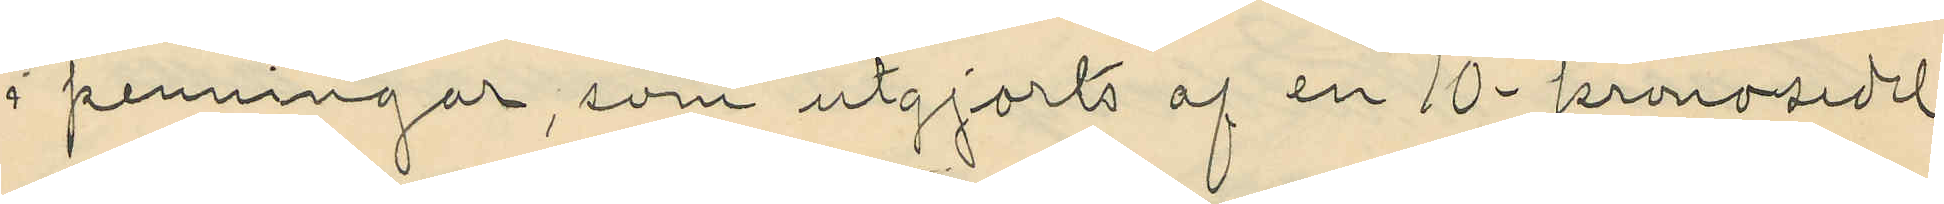i penningar, som utgjorts af en 10-kronosedel
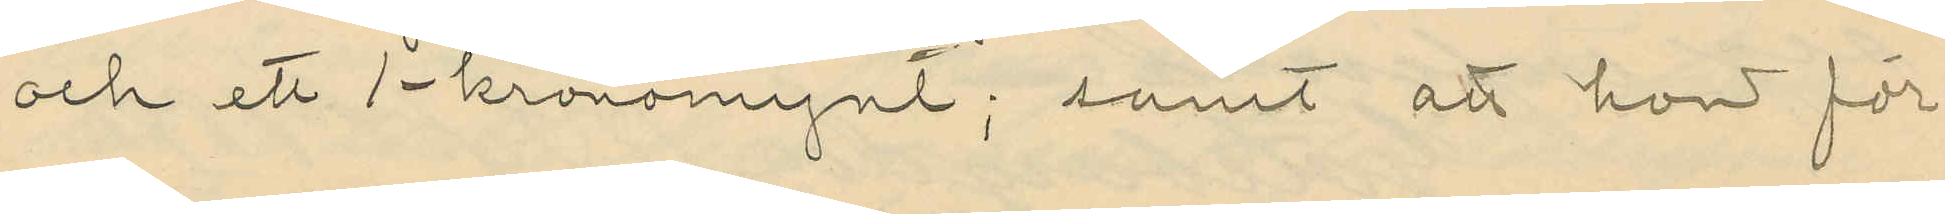och ett 1-kronomynt; samt att hon för
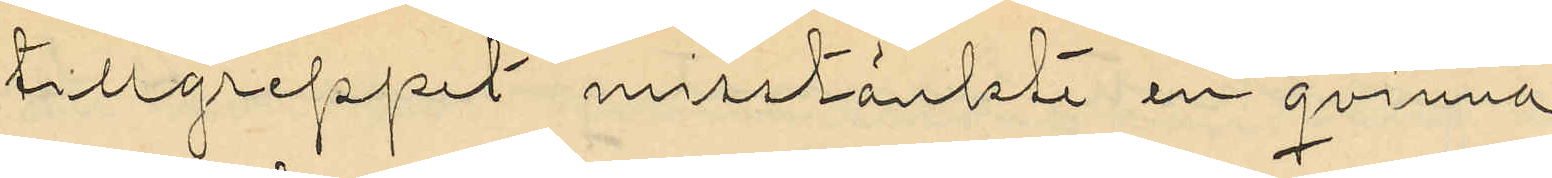tillgreppet misstänkte en qvinna
